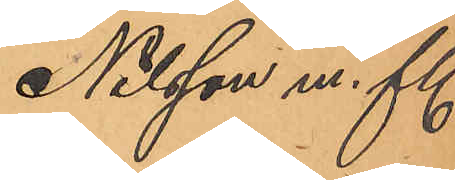Nilsson m. fl.
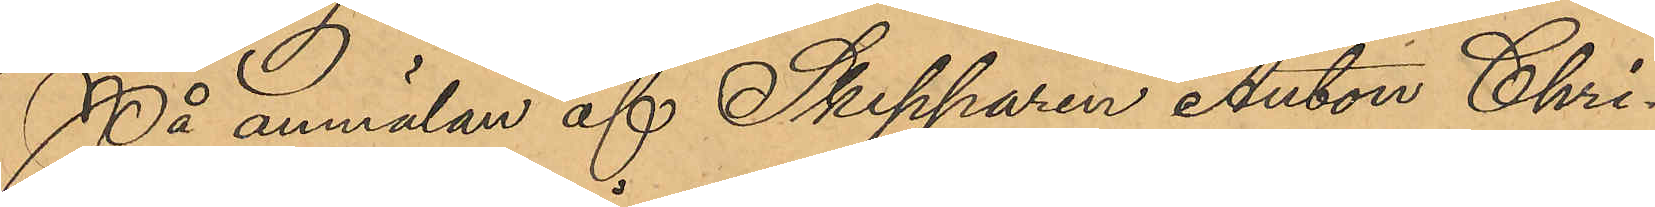På anmälan af Skepparen Anton Chri¬
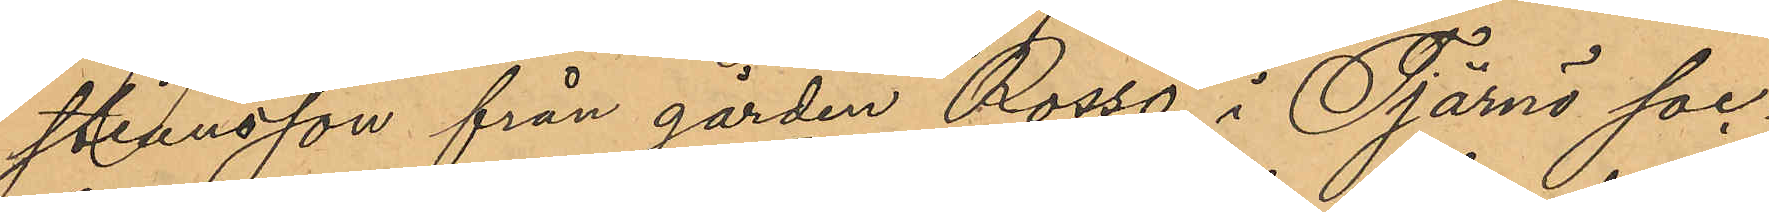stiansson från gården Rossö i Tjärnö soc¬
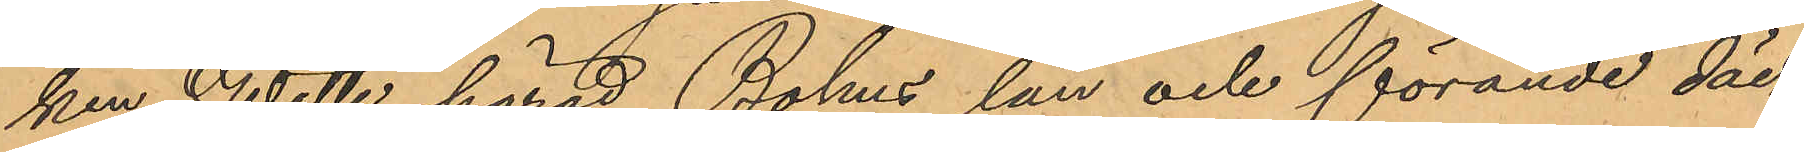ken Wette härad Bohus län och förande däck¬
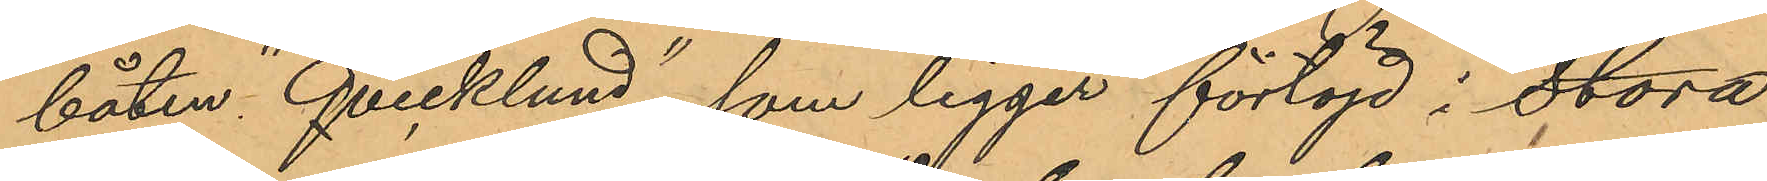båten "Qvicklund", som ligger förtöjd i Stora
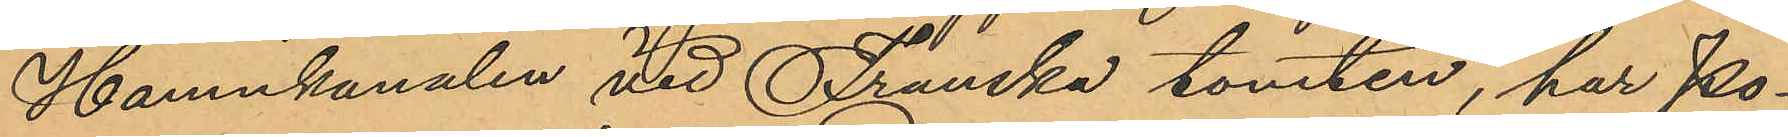Hamnkanalen vid Franska tomten, har Po¬
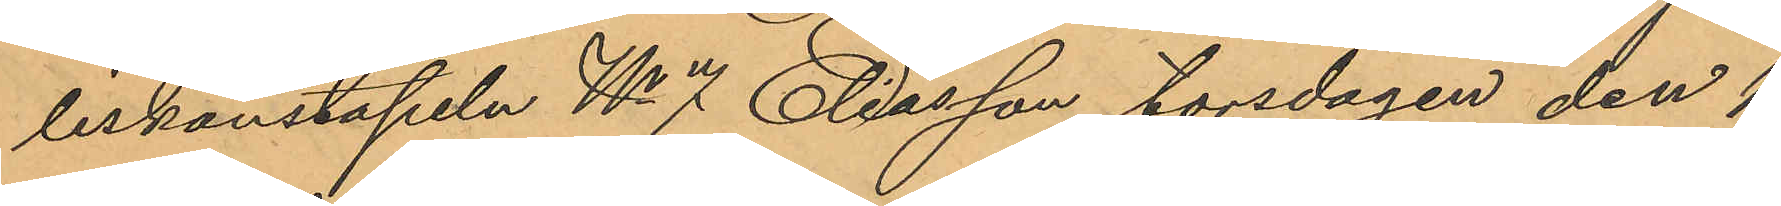liskonstapeln No 7 Eliasson, torsdagen den 1
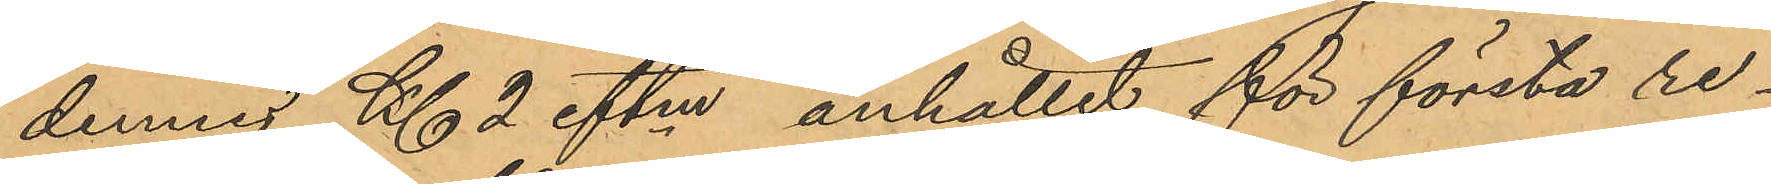dennes Kl 2 eftm anhållit för första re¬
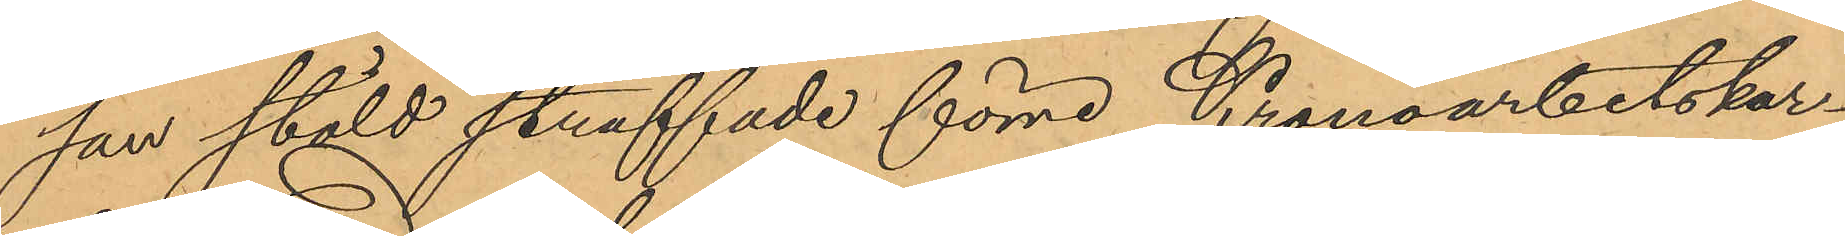san stöld straffade förre Kronoarbetskar¬
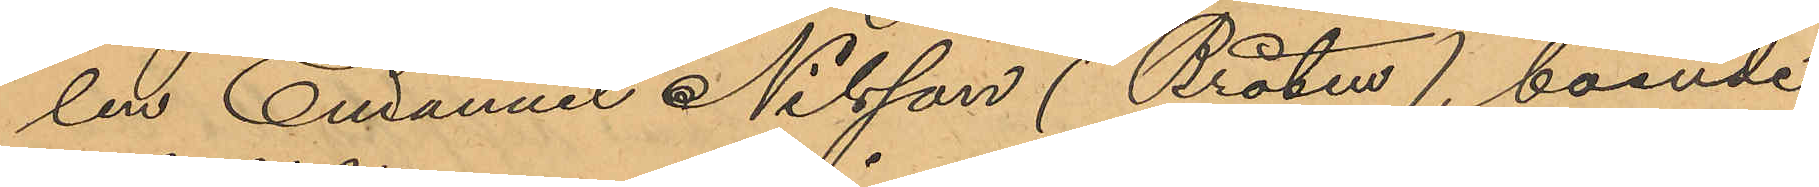len Emanuel Nilsson (Bråten), boende
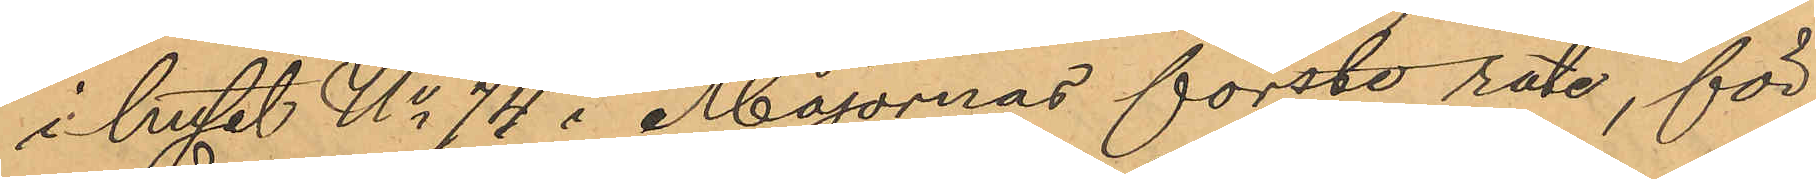i huset No 74 i Majornas förste rote, för
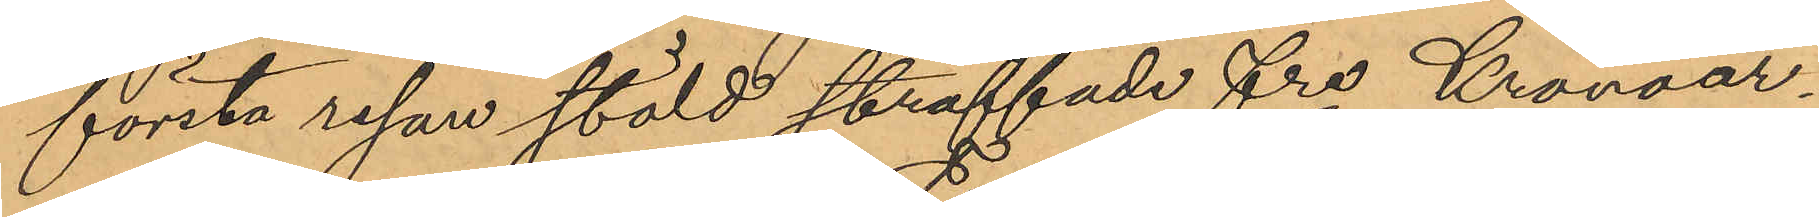första resan stöld straffade fre Kronoar¬
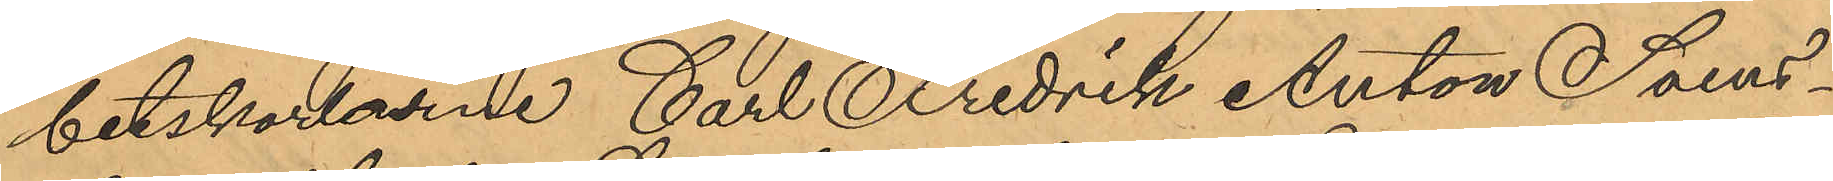betskarlarne Carl Fredrik Anton Svens¬
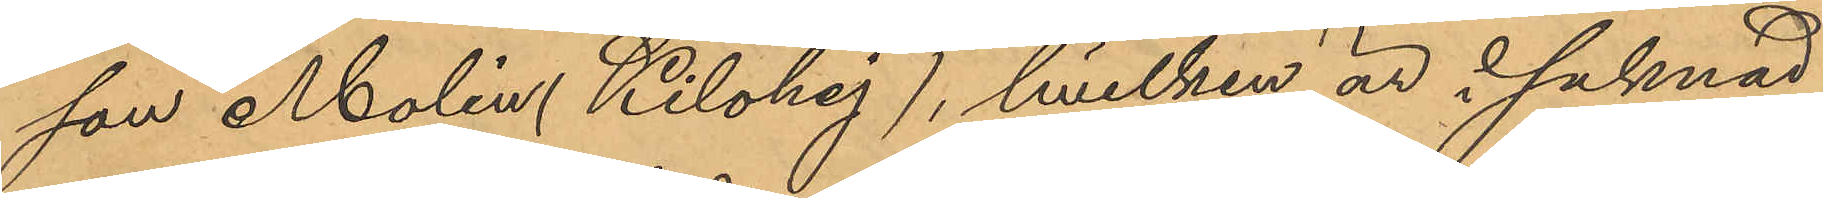son Molin ( Kilohej), hvilken är i saknad
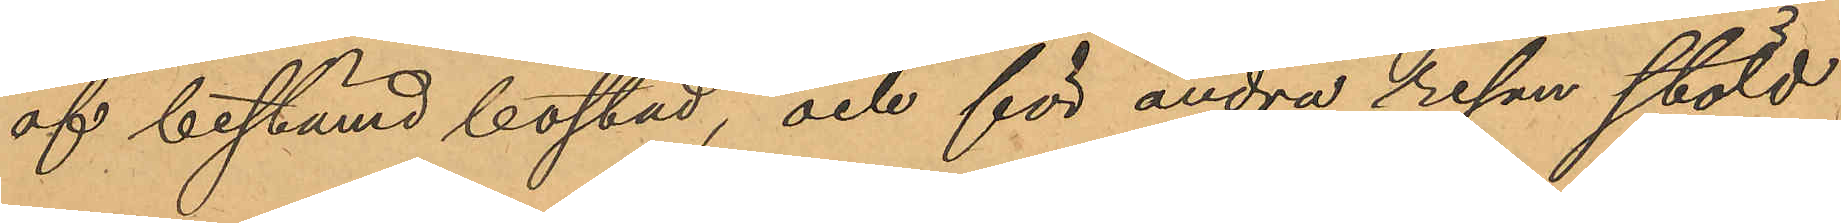af bestämd bostad, och för andra resan stöld
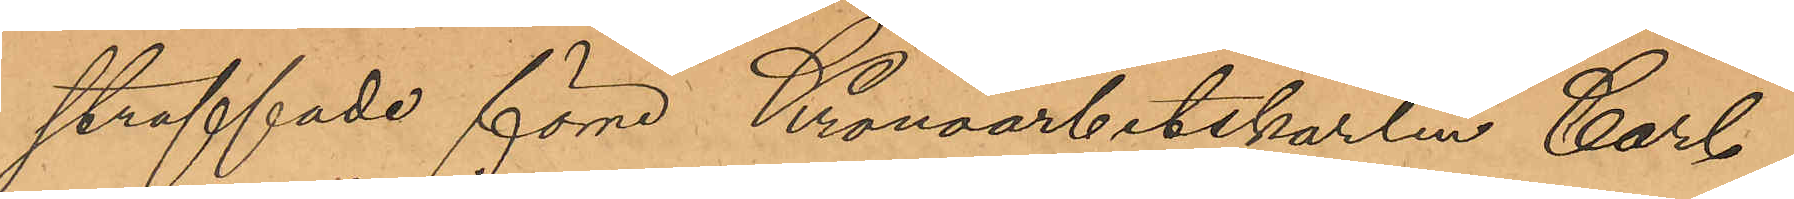straffade förre Kronoarbetskarlen Carl
